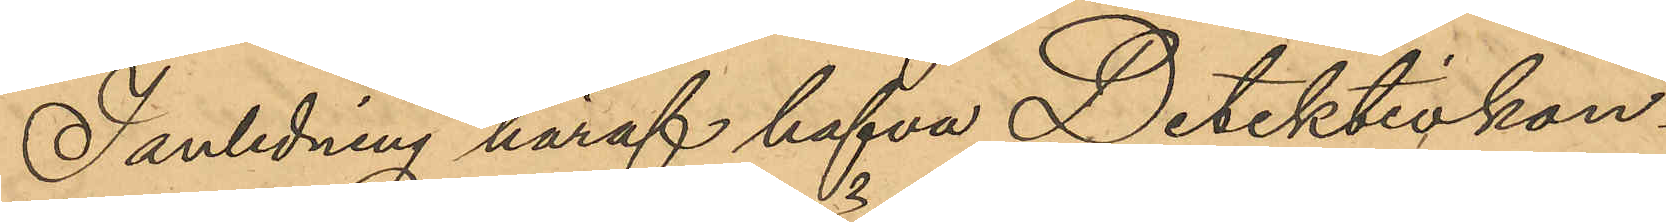I anledning häraf hafva Detektivkon¬
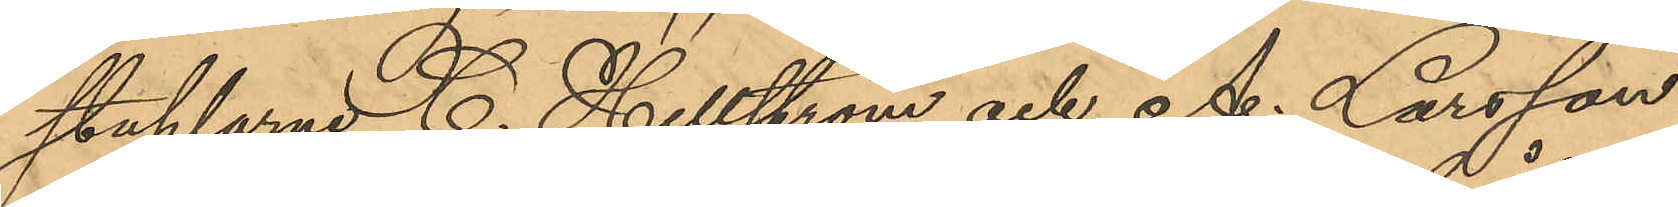staplarne C. Hellström och A. Larsson
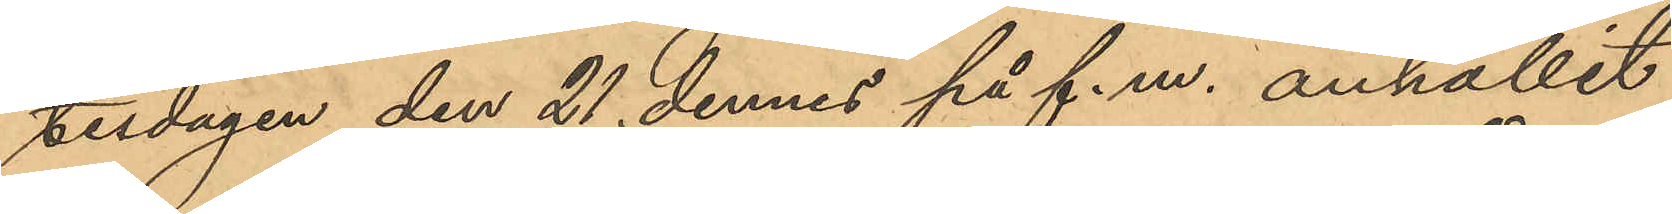tisdagen den 21 dennes på f.m. anhållit
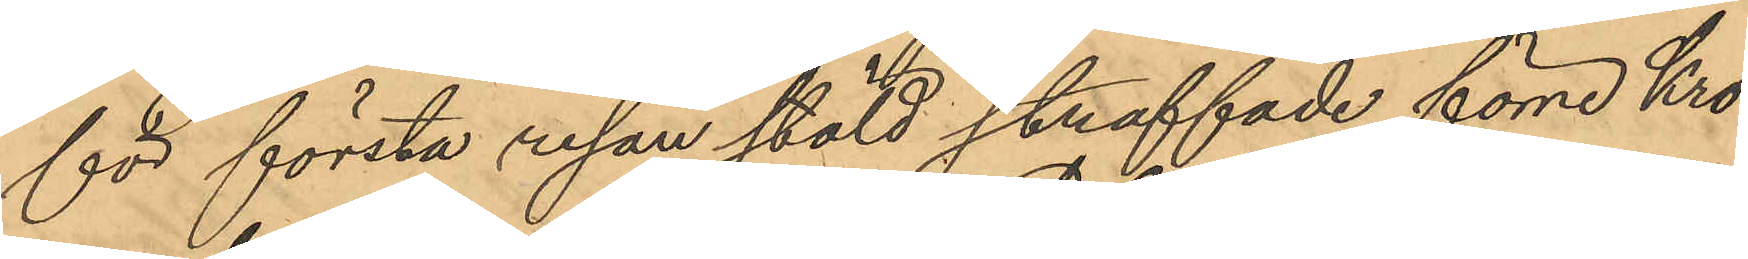för första resan stöld straffade förre Kro¬
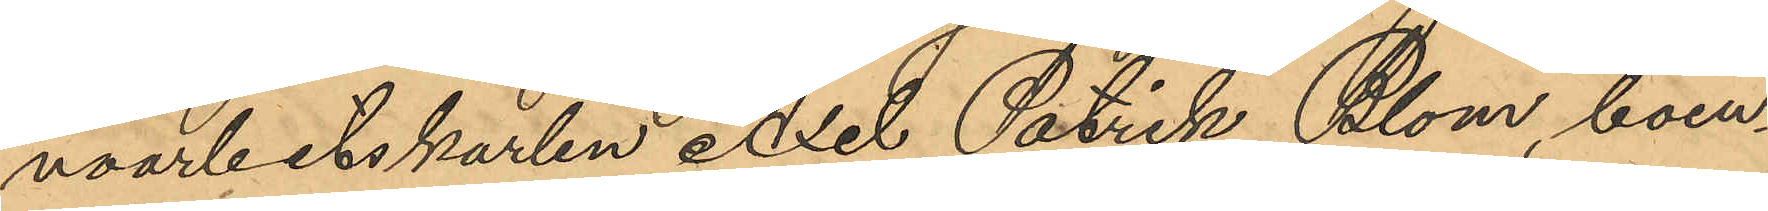noarbetskarlen Axel Patrik Blom, boen¬
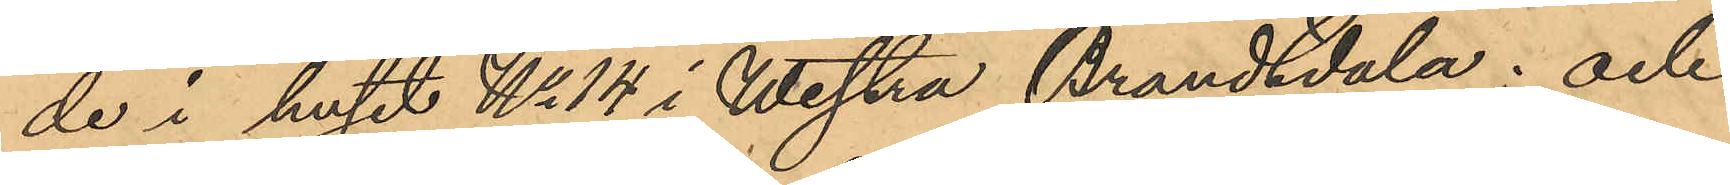de i huset No 14 i Westra Brandsdala; och
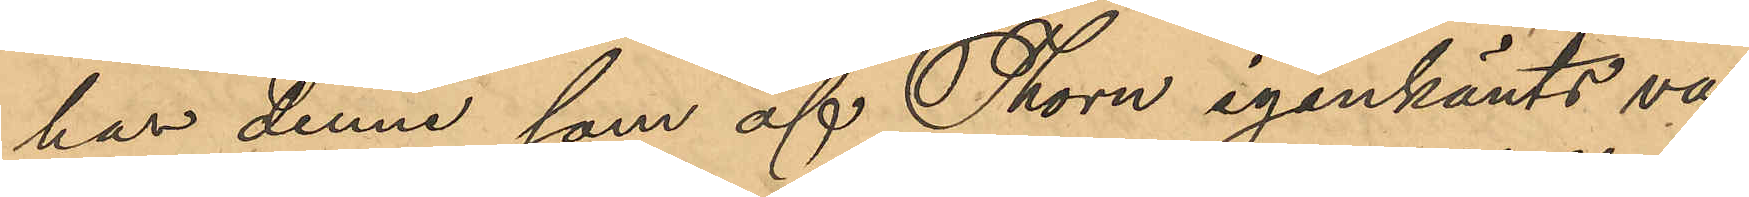har denne, som af Thorn igenkänts va¬
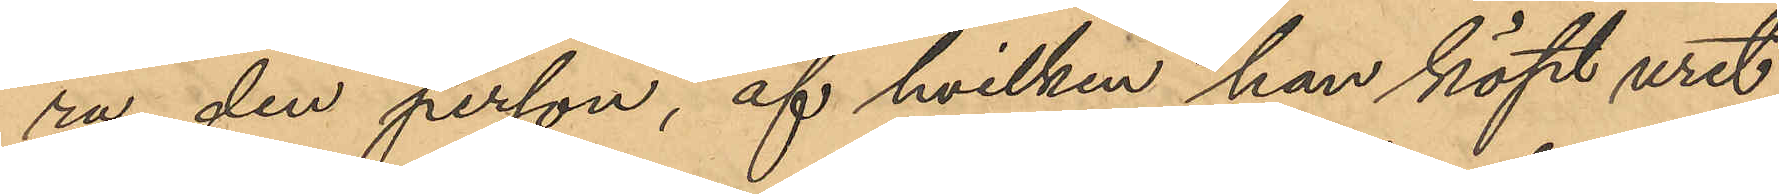ra den person, af hvilken han köpt uret,
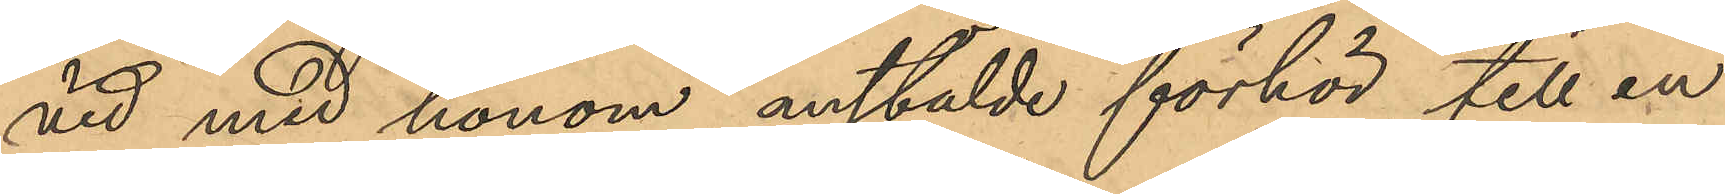vid med honom anstälde förhör till en
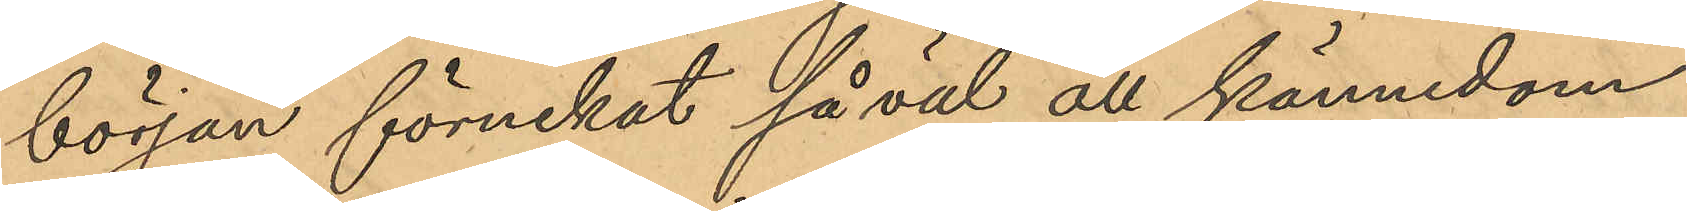början förnekat så väl all kännedom
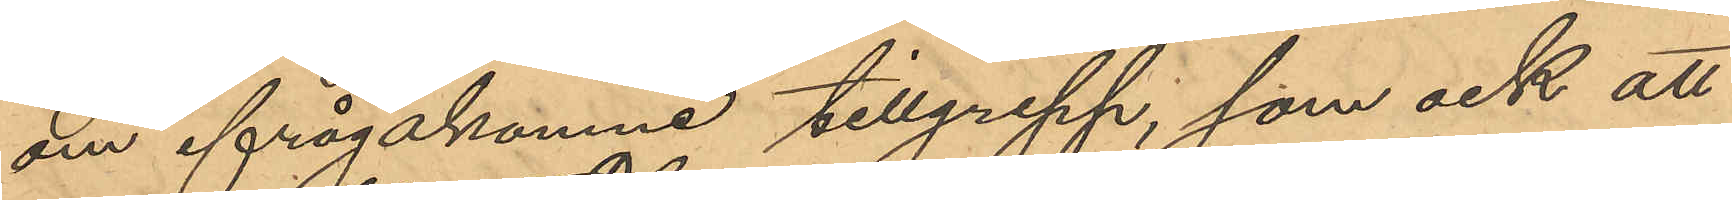om ifrågakomne tillgrepp, som ock att
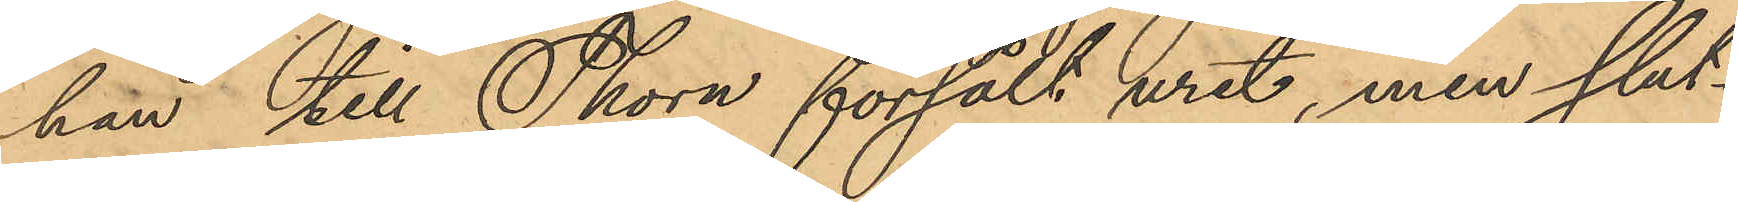han till Thorn försålt uret, men slut¬
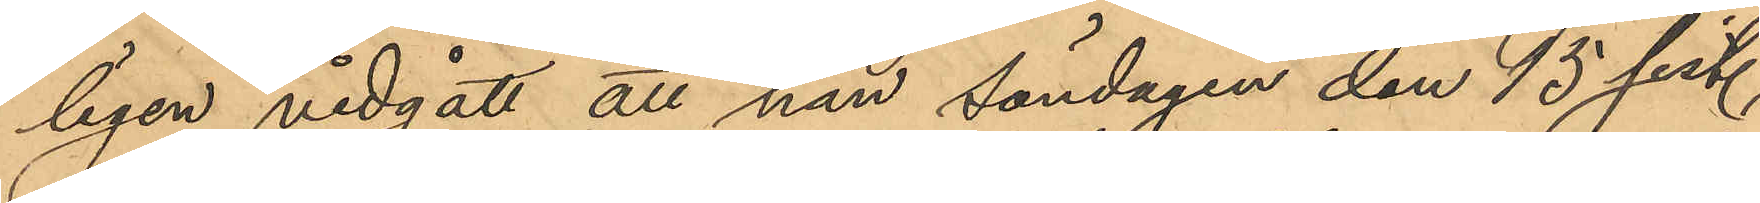ligen vidgått att han söndagen den 15 sist.
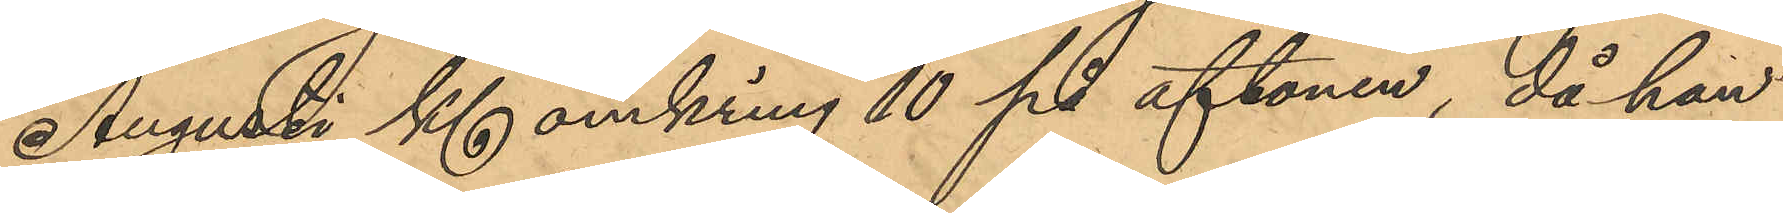Augusti Kl omkring 10 på aftonen, då han
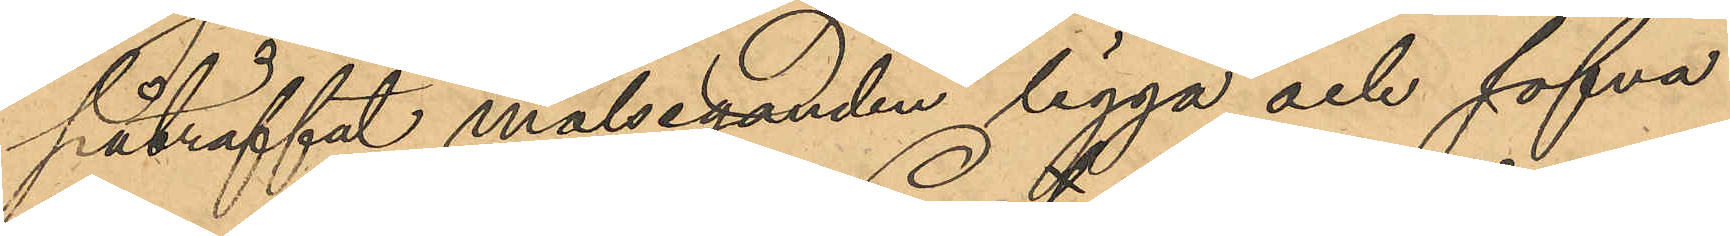påträffat målseganden ligga och sofva
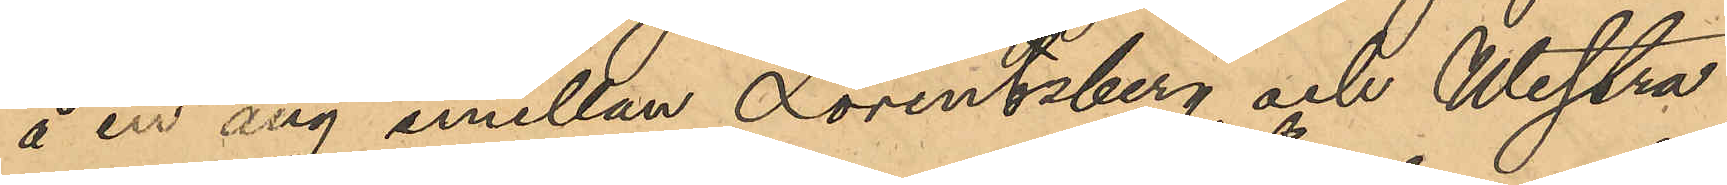å en äng emellan Lorentzberg och Westra
